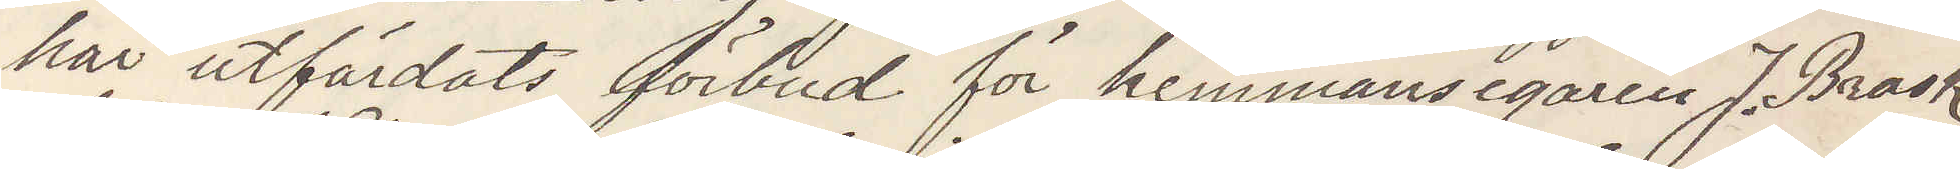har utfärdats förbud för hemmansegaren J. Brask
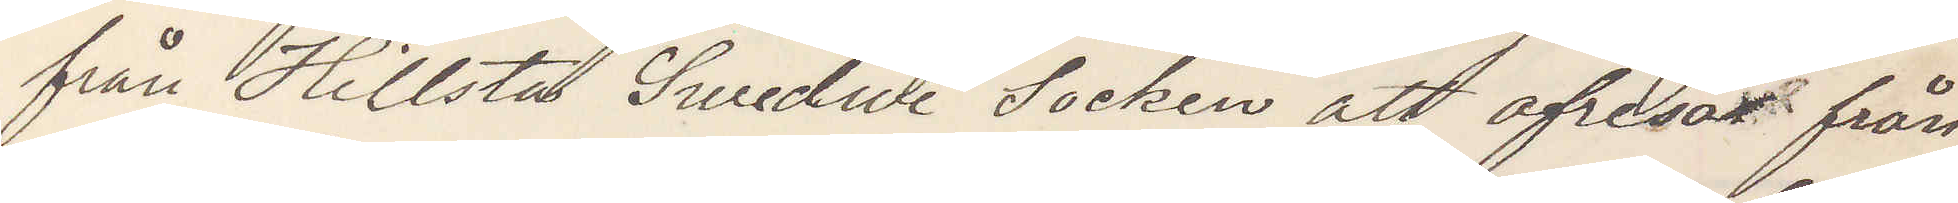från Hillsta Swedwi Socken att afresa från
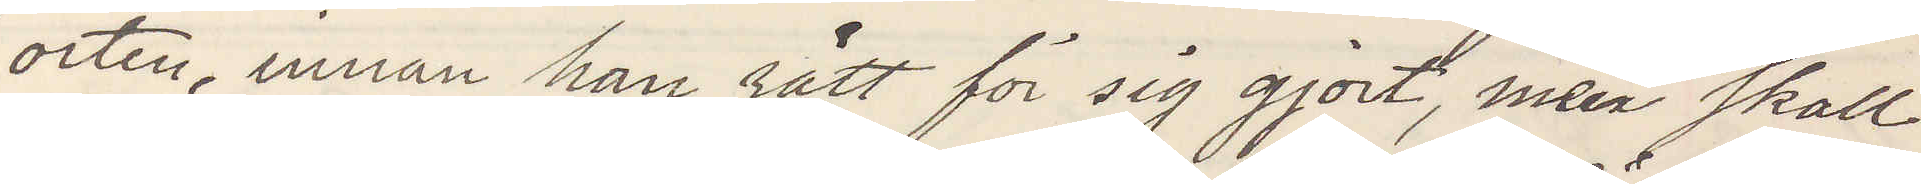orten, innan han rätt för sig gjort, men skall
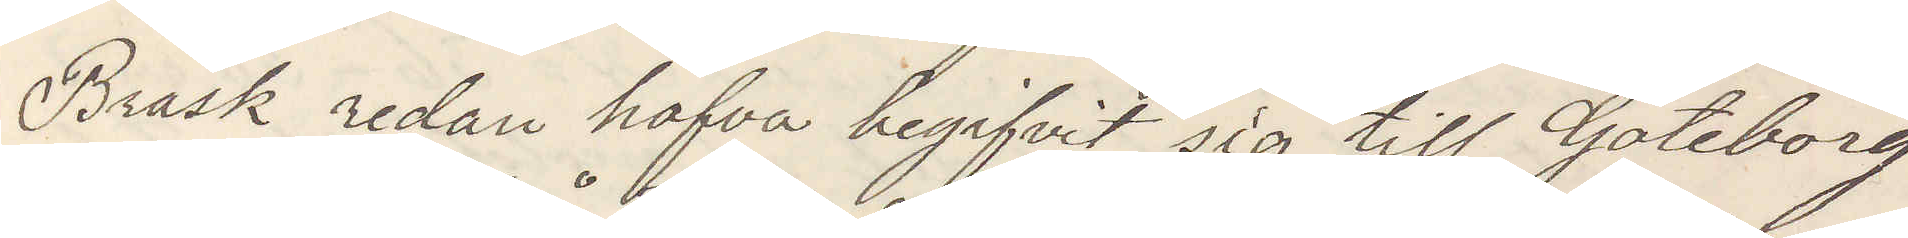Brask redan hafva begifvit sig till Göteborg
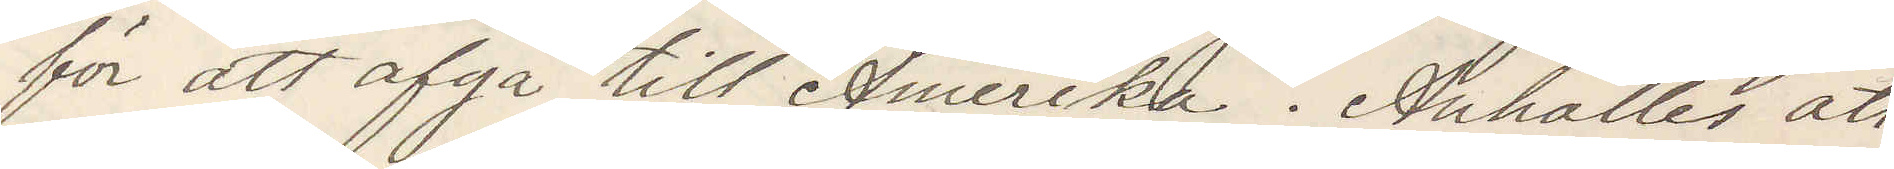för att afgå till Amerika. Anhålles  att
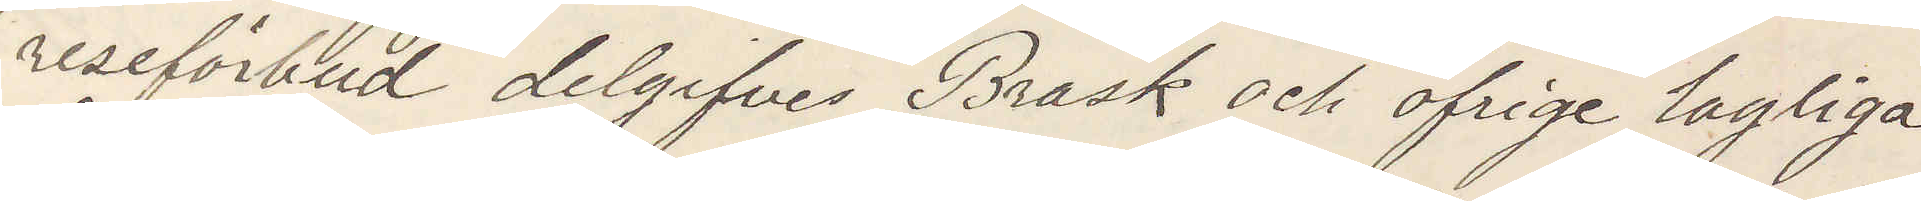reseförbud delgifves Brask  och öfrige lagliga
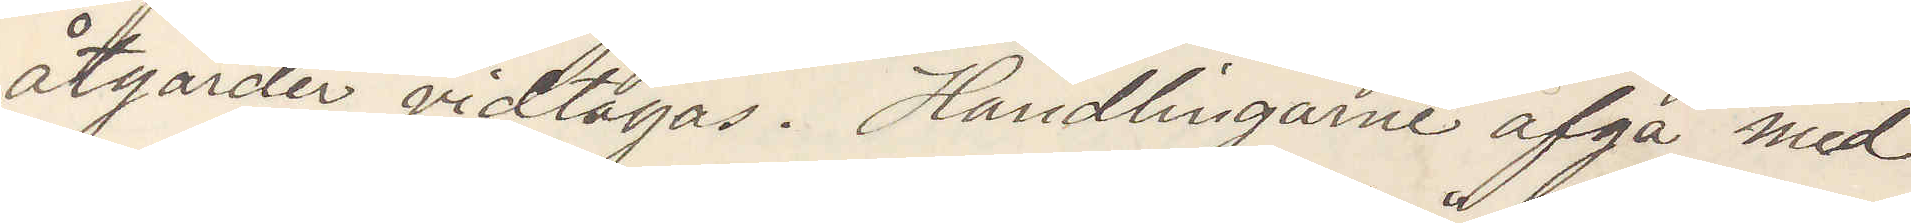åtgärder vidtagas. Handlingarne afgå med
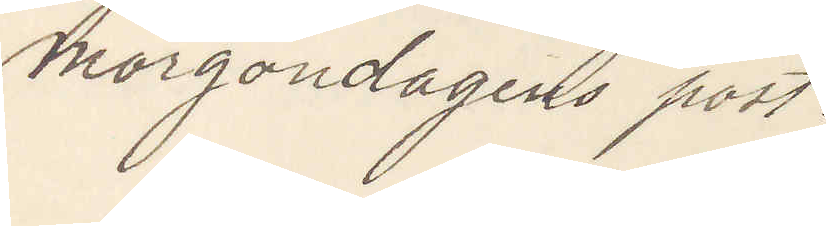morgondagens post.
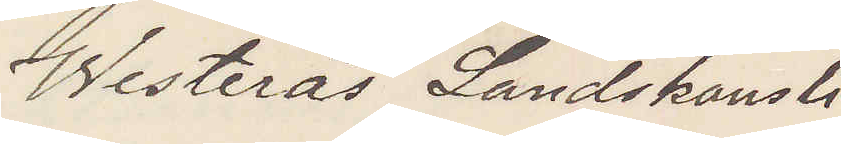Westerås Landskansli
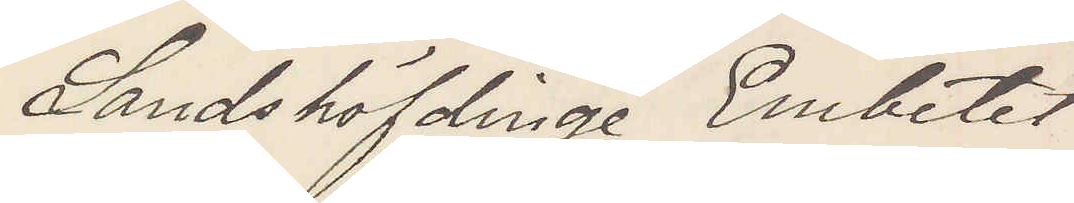Landshöfdinge Embetet
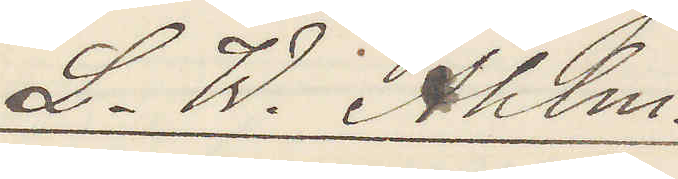L. W. Ahlm.
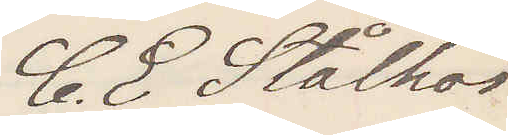C. E Stålhös
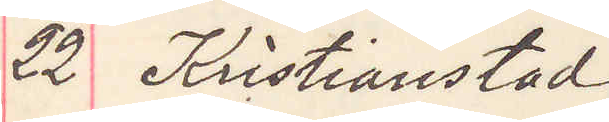22 Kristianstad
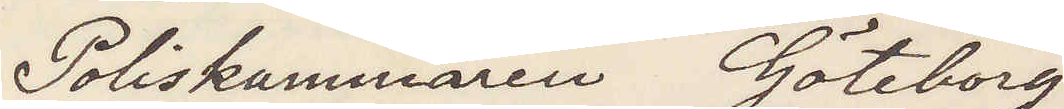Poliskammaren Göteborg
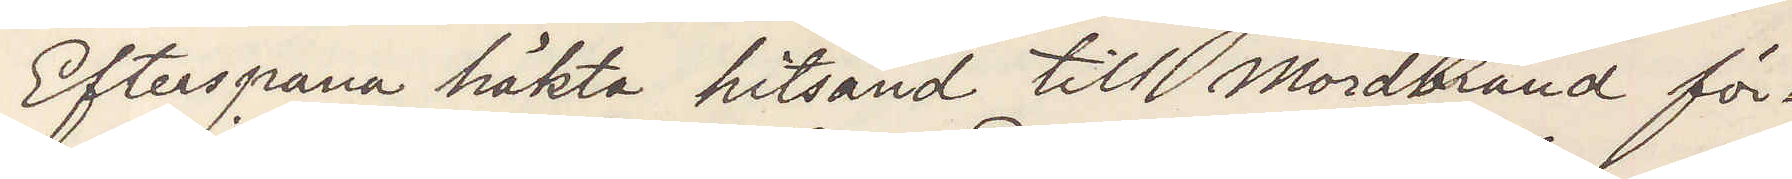Efterspana häkta hitsänd till Mordbrand för¬
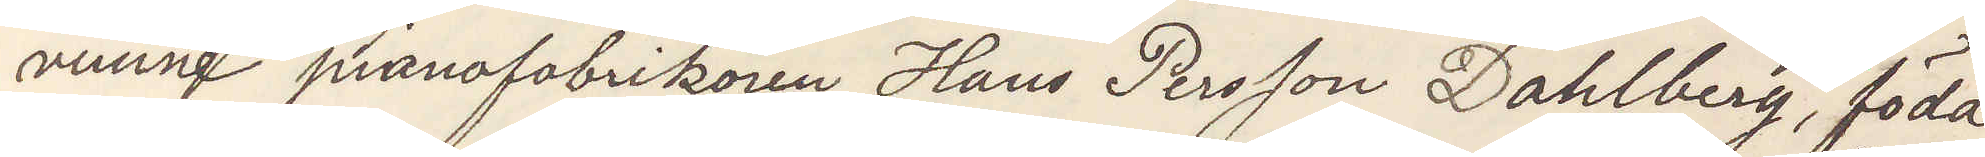vunne pianofabrikören Hans Persson Dahlberg, född
